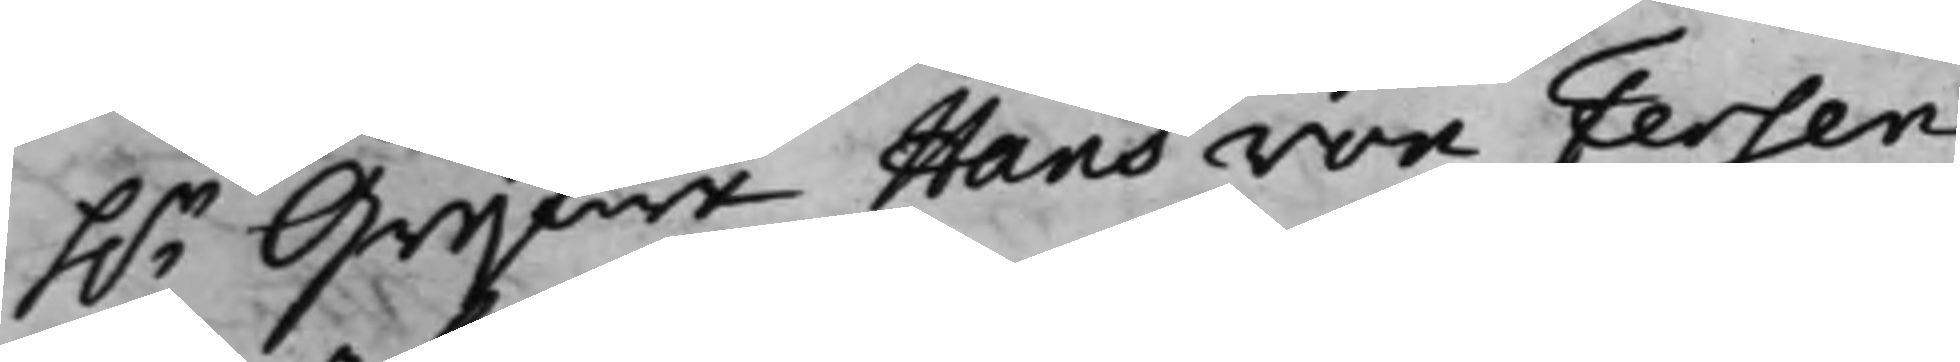h.r Grefwe Hans von Fersen
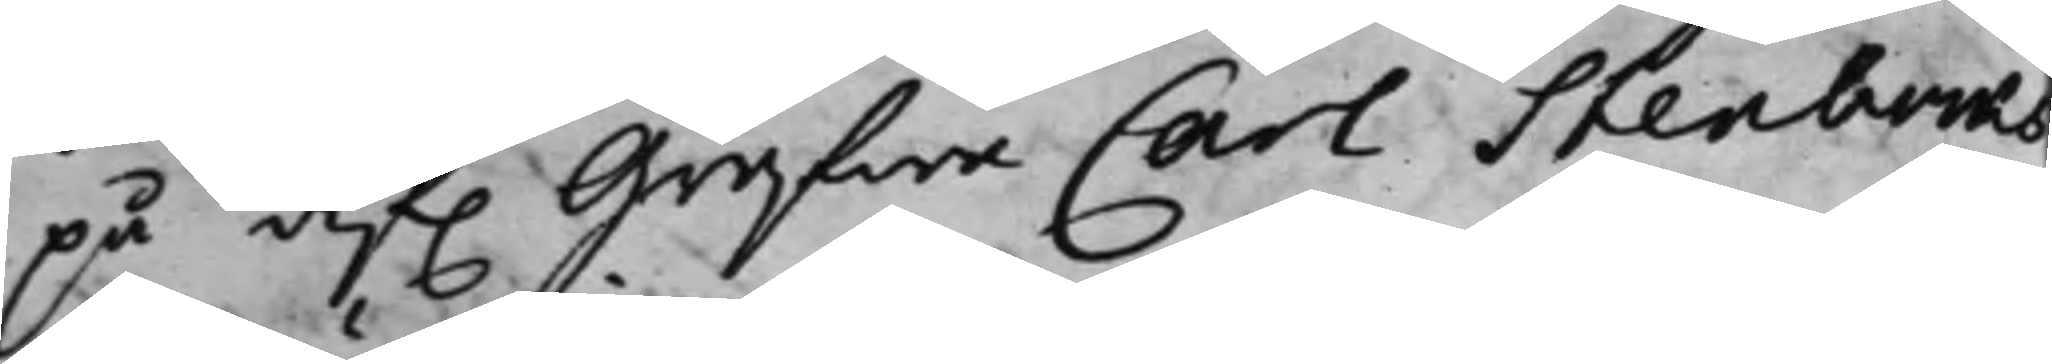på af. Grefwe Carl Stenbocks
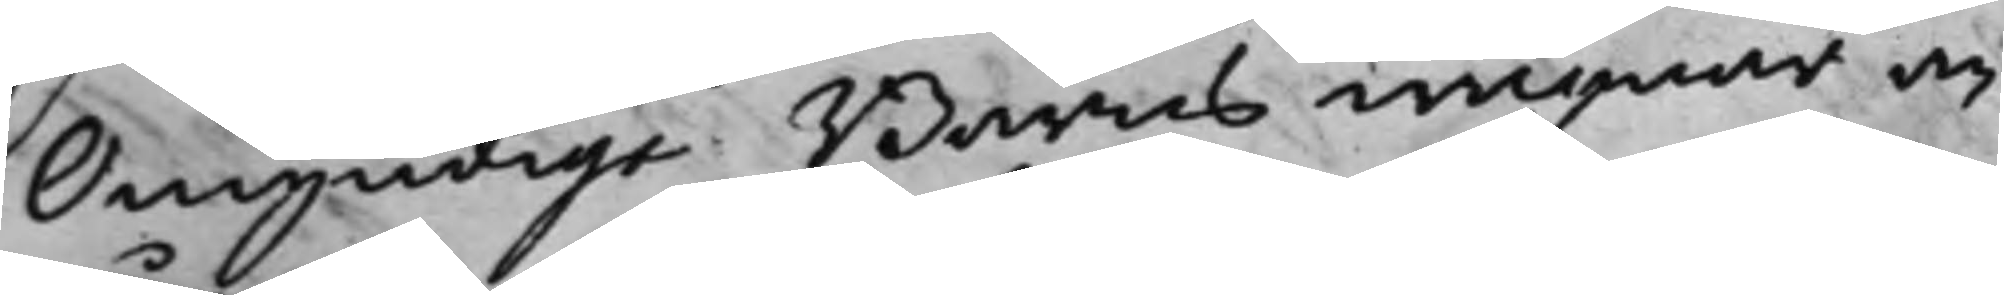Omyndige Barns wägnar an¬
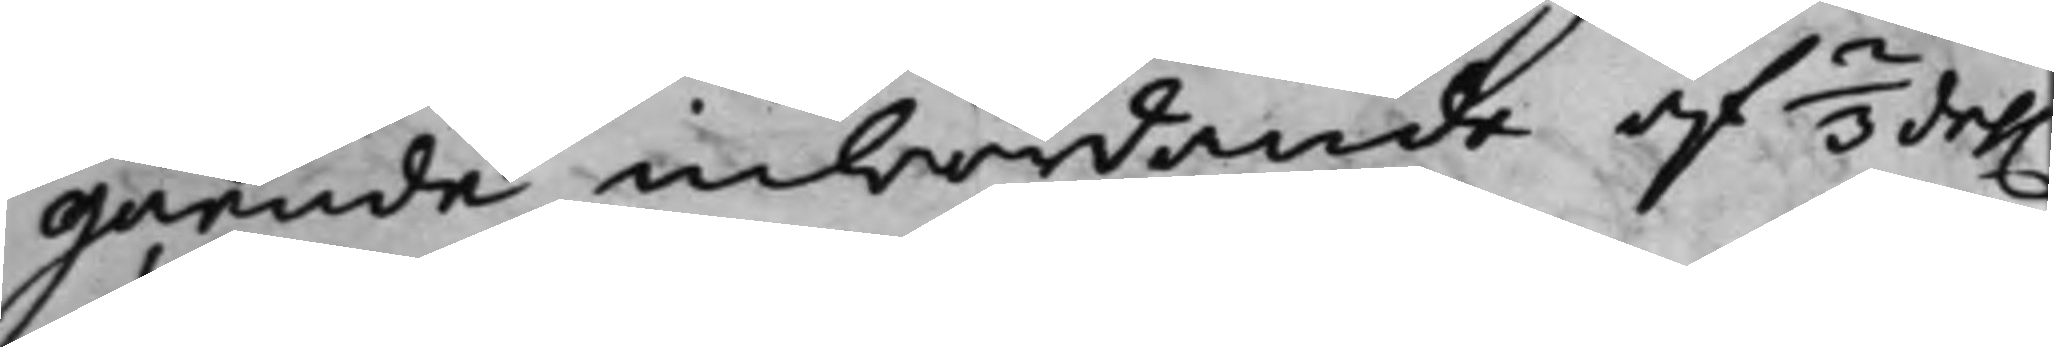gående inbördande af 2/3 del.
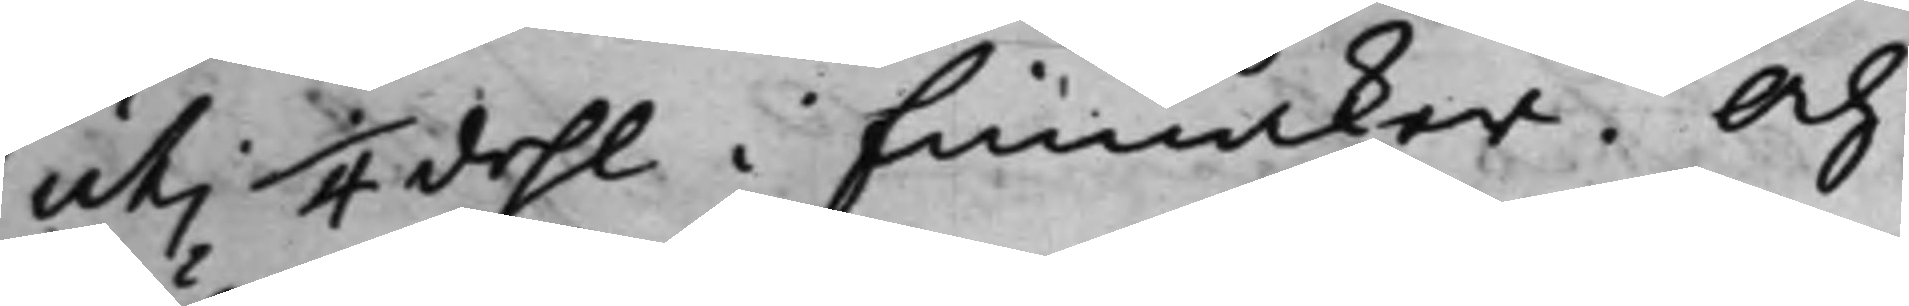uti 1/4 dehl i Finnåker. Och
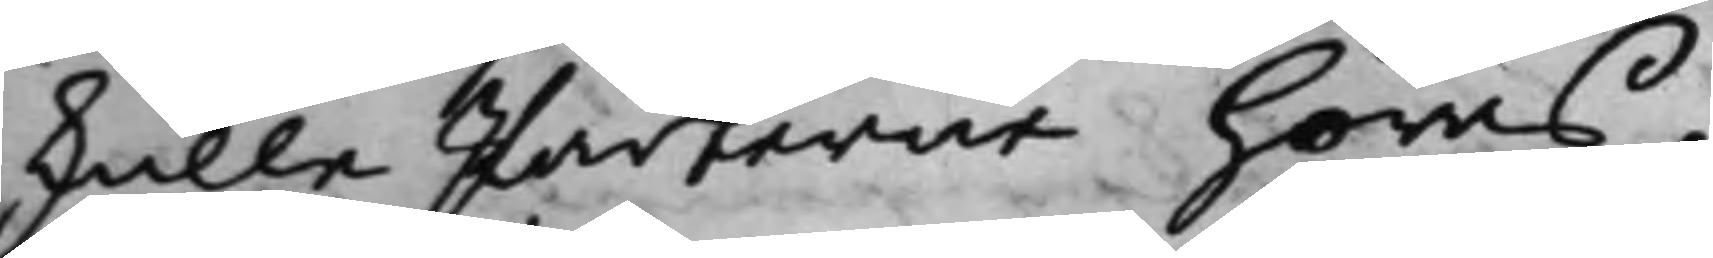skulle Parterne höras.
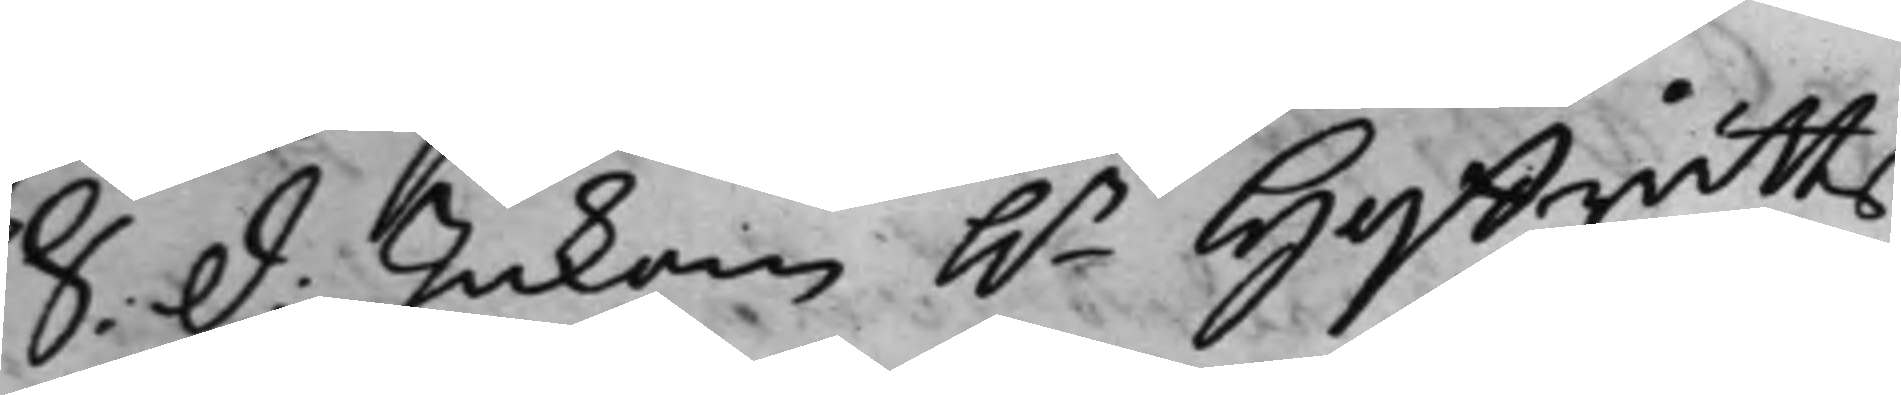S: d: Inkom h.r Hoffrätts¬
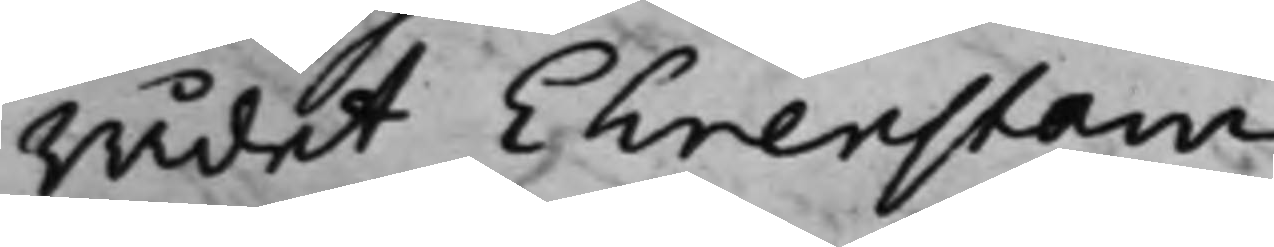Rådet Ehrenstam.
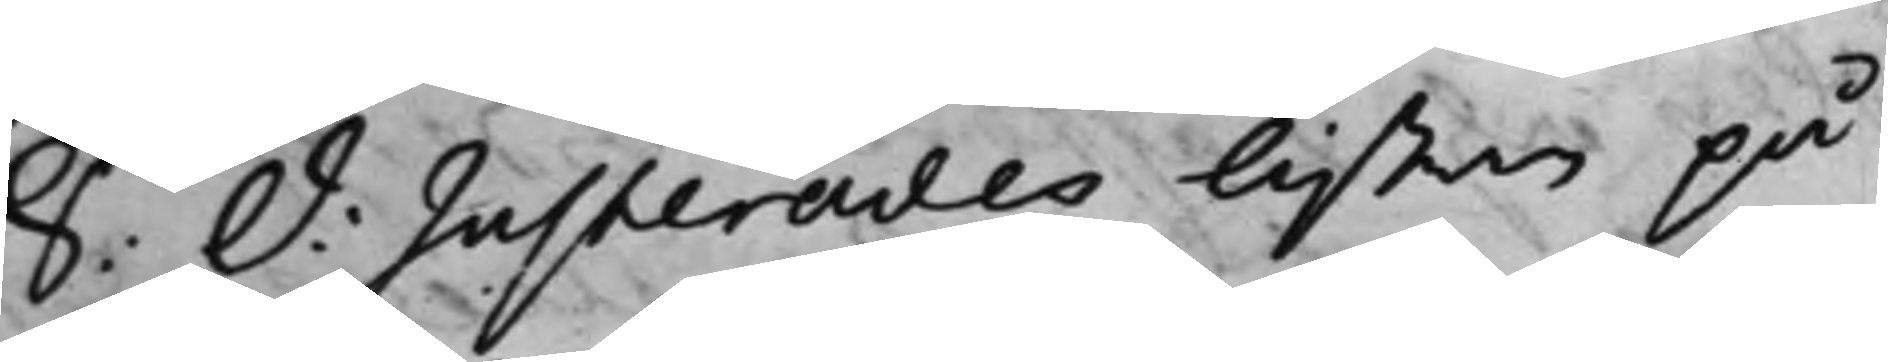S: d: Justerades listan på
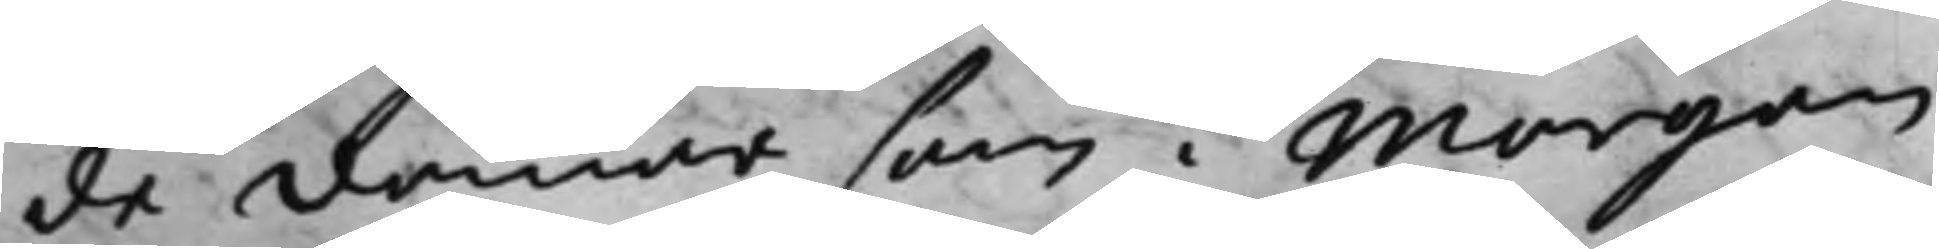de domar som i Morgon
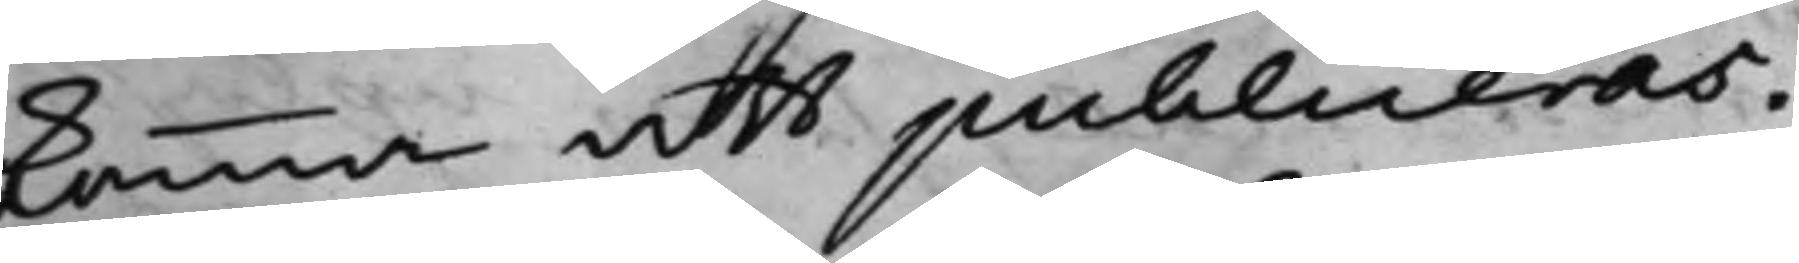komma att publiceras.
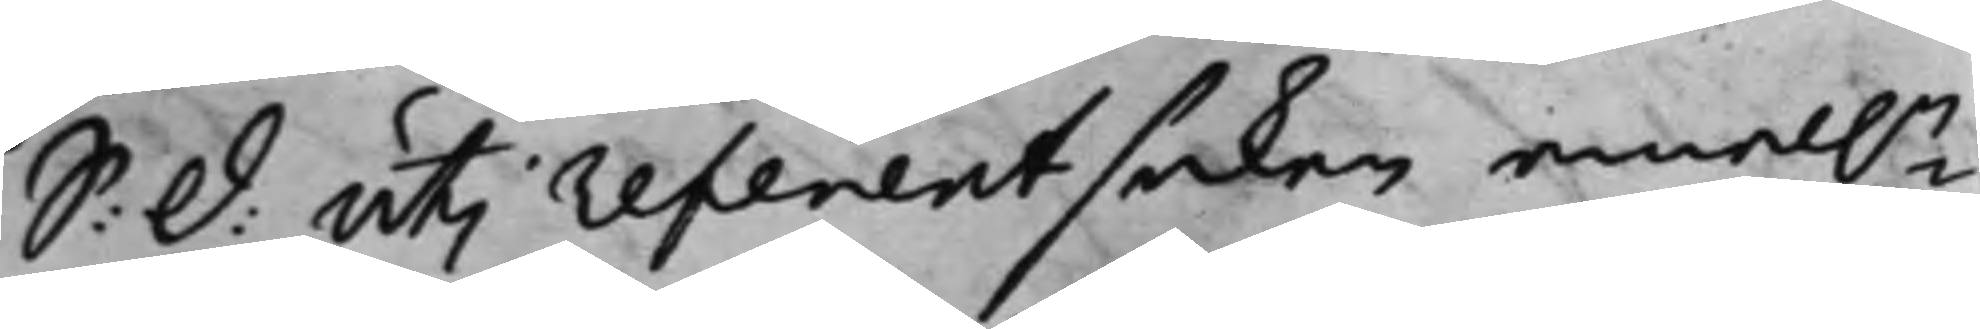S: d: uti referentsaken emel.n
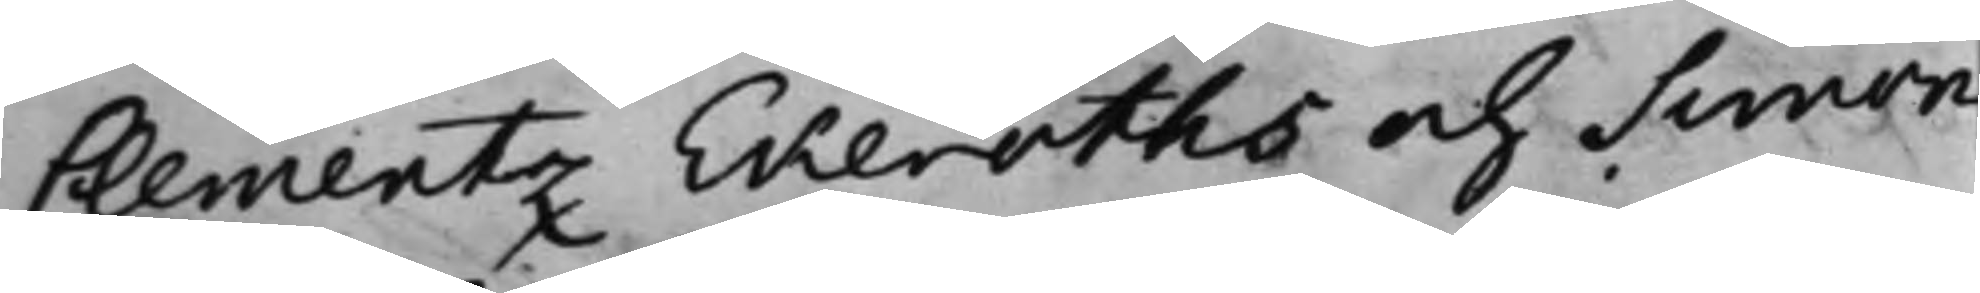Clementz Ekeroths och Simon
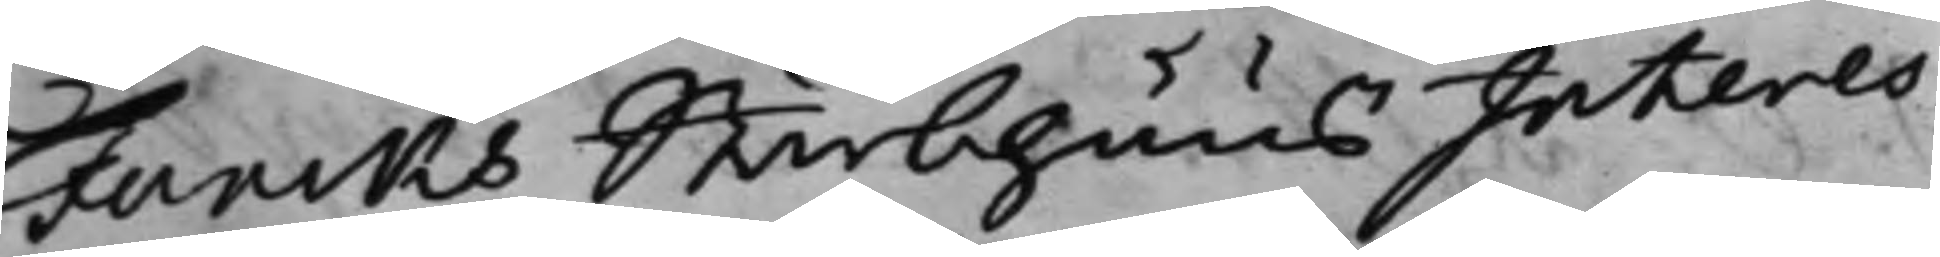Funcks Sterbhuus Interes¬
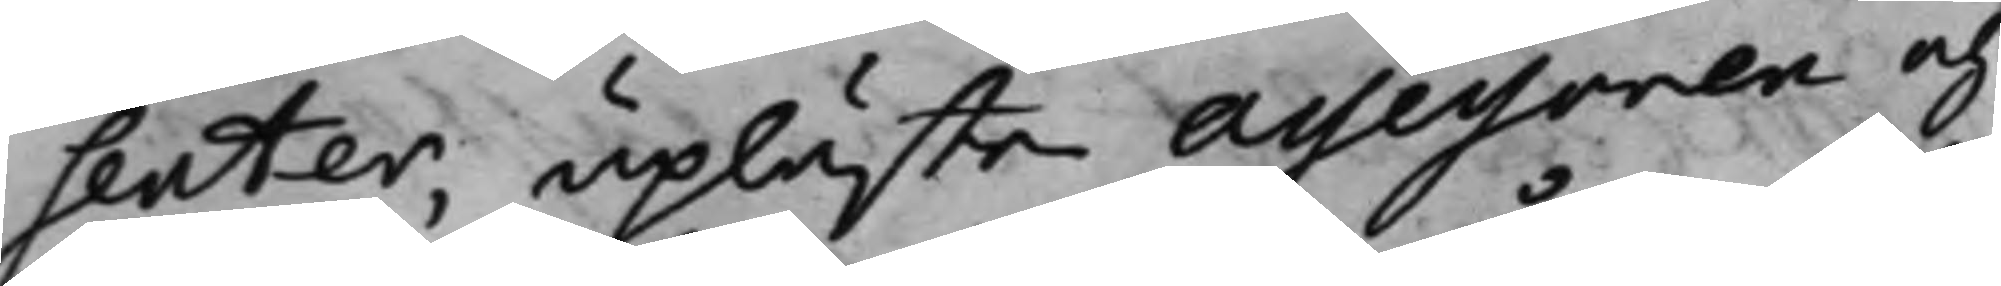senter, upläste Assessoren och
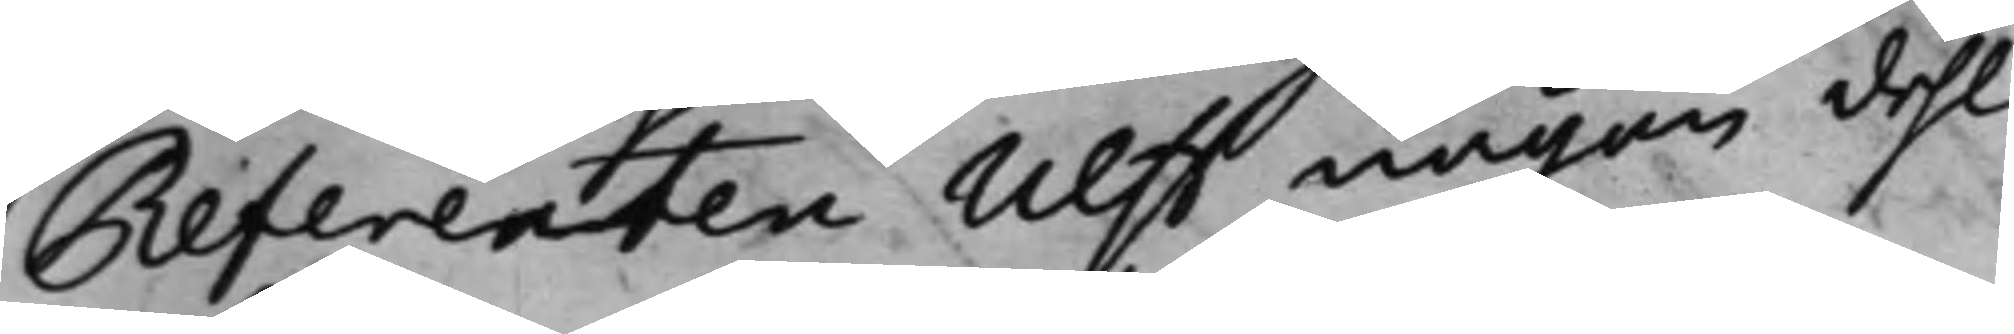Referenten Ulff någon dehl
